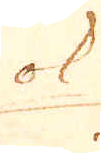ok
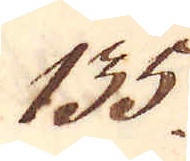135.
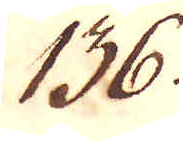136.
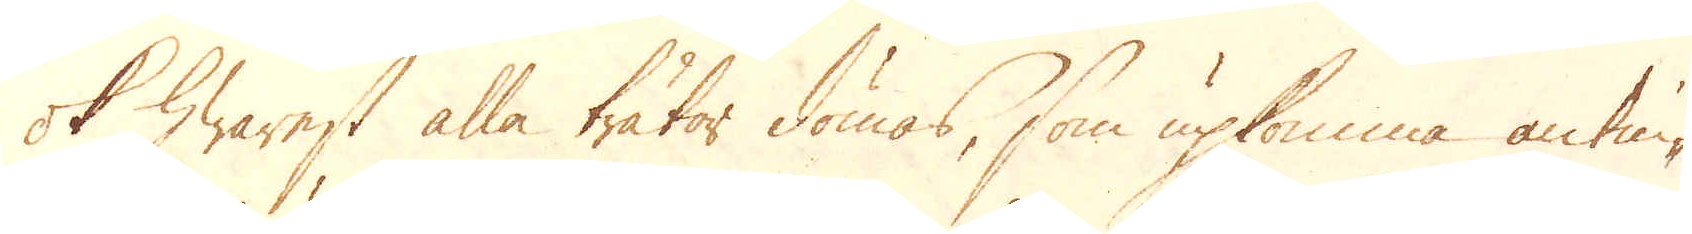ok hwarest alla trätor dömas, som upkomma antin-
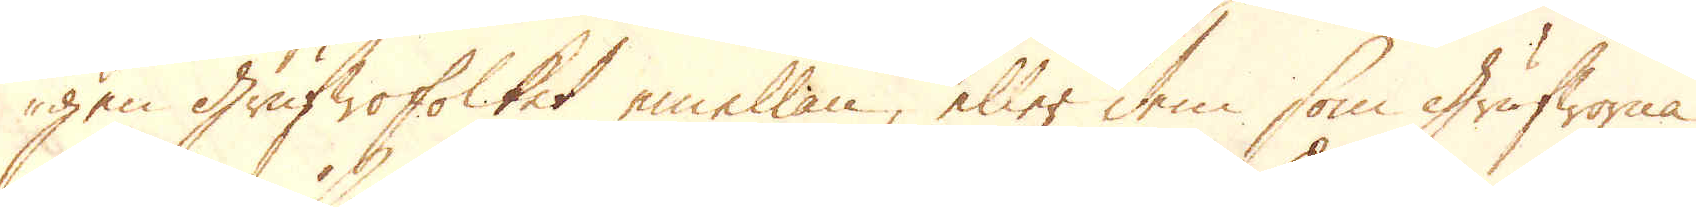gen Grufwofolket emellan, eller dem som Grufworna
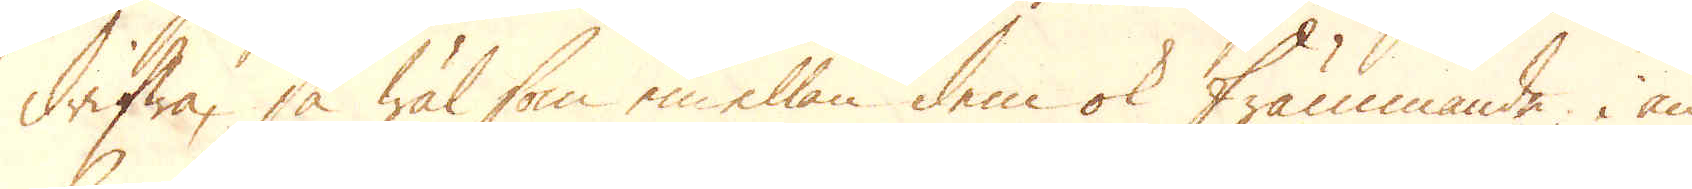drifwa, så wäl som emellan dem ok främmande, i an-
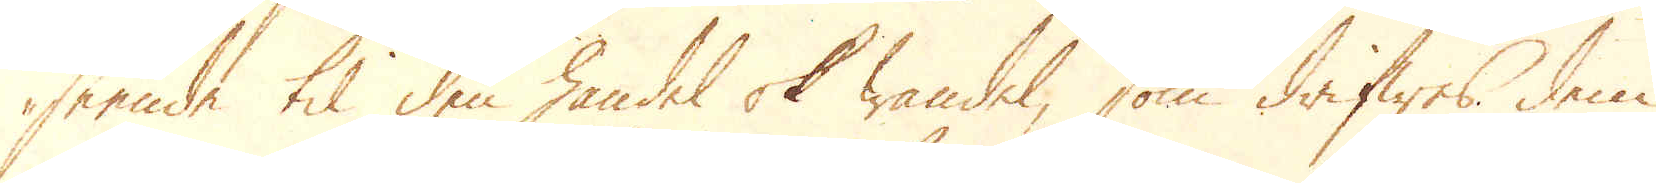seende til den handel ok wandel, som drifwes dem
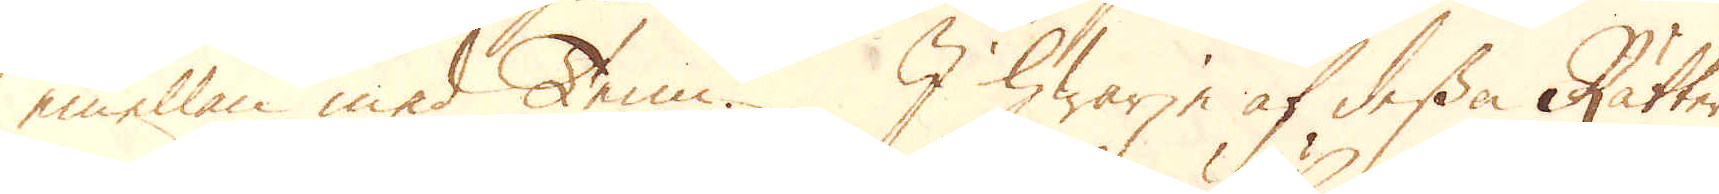emellan med Tenn. I hwarje af dessa Rätter
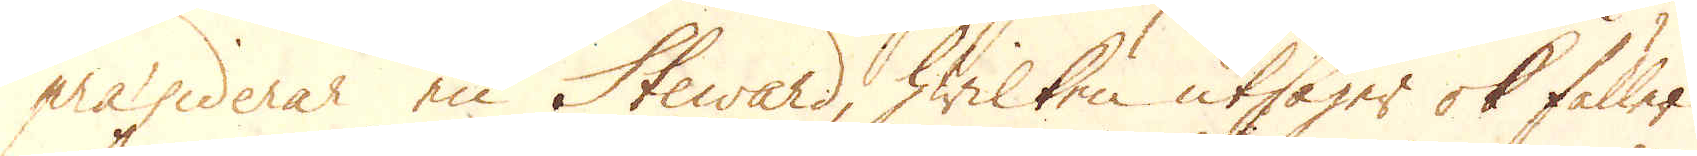praesiderar en Steward, hwilken utsäger ok fäller
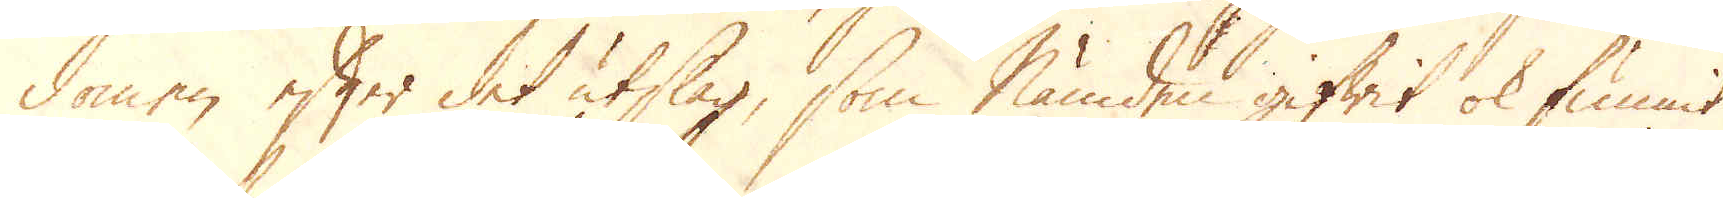domen efter det utslag, som Nämden gifwit ok funnit
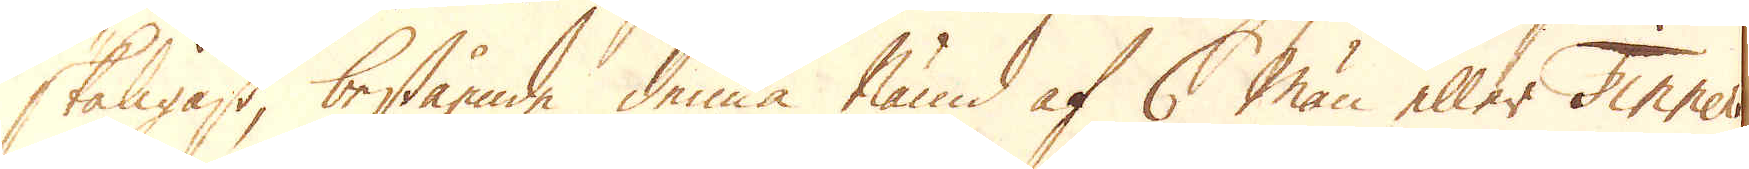skäligast, bestående denna Nämd af 6 män eller Tinners
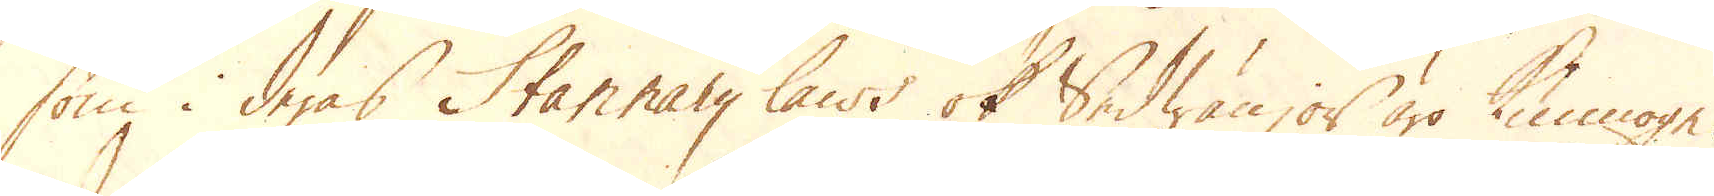som i deras Stannary laws ok Sedwänjor äro kunnoge.
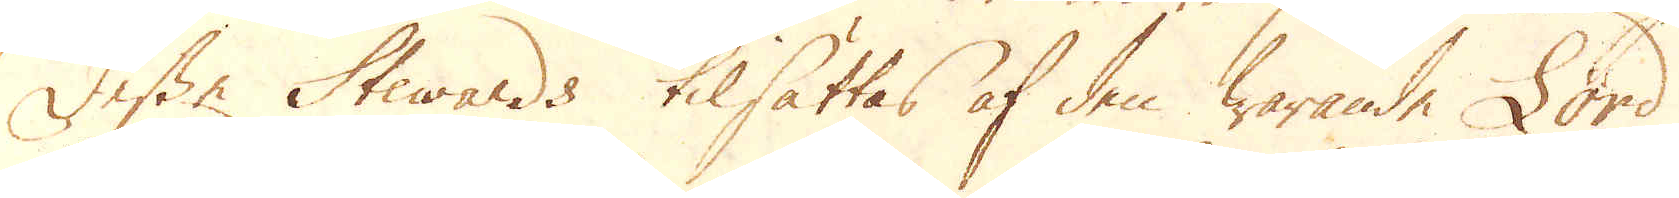Desse Stewards tilsättas af den warande Lord
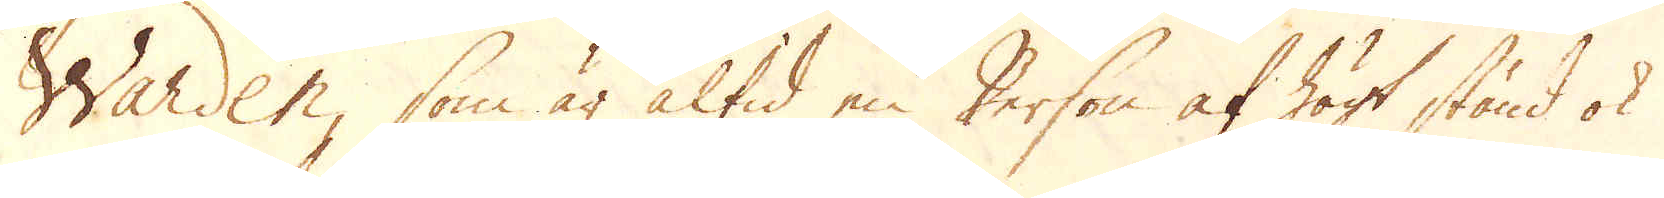Warden, som är altid en Person af högt stånd ok
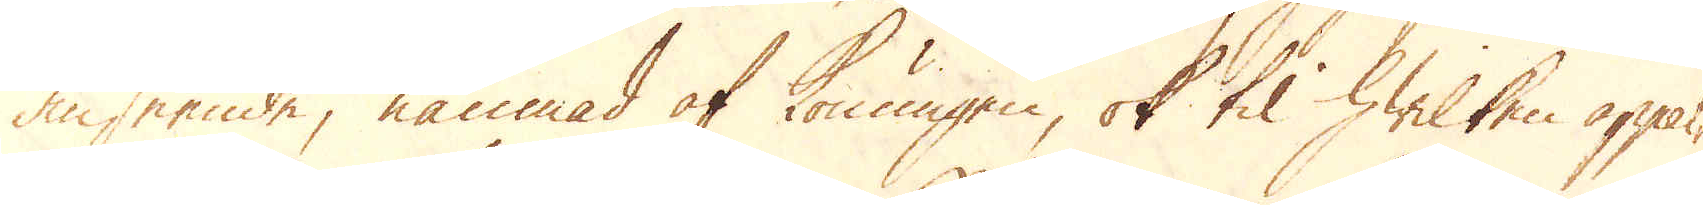anseende, nämnad af Konungen, ok til hwilken appal-
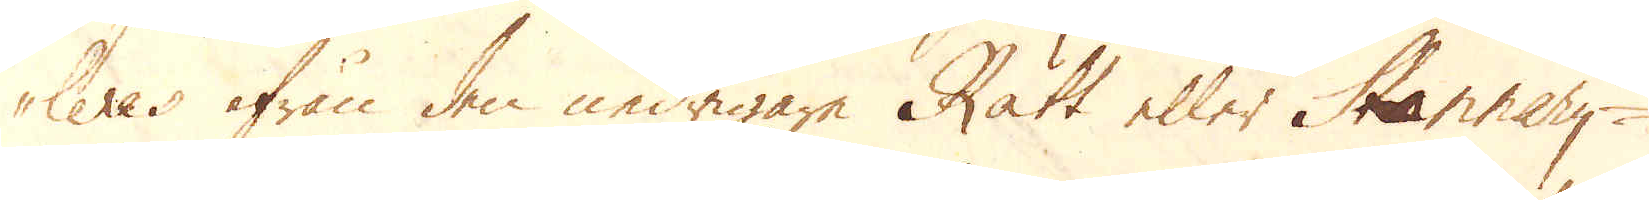leres ifrån den nedrigare Rätt eller Stannary-
